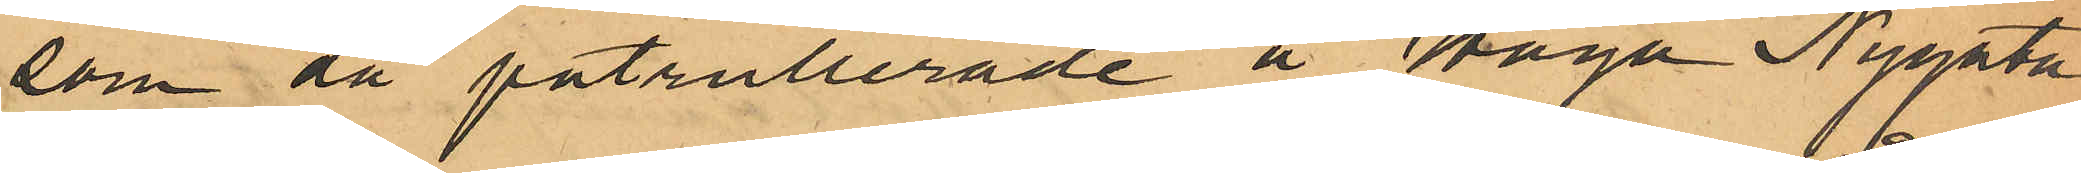som då patrullerade å Haga Nygata
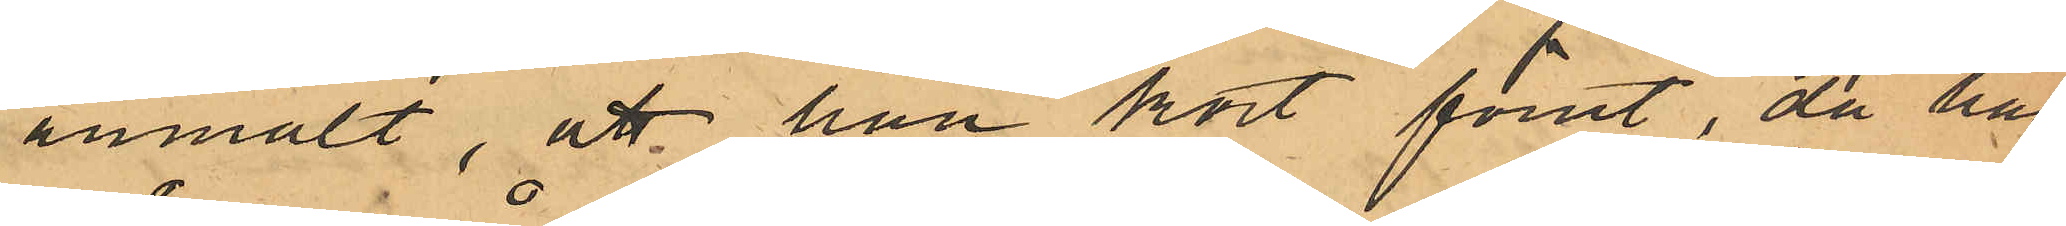anmält, att han kort förut, då han
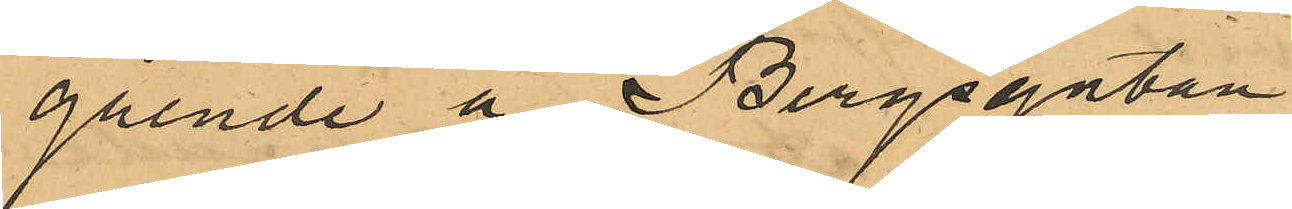gående å Bergsgatan
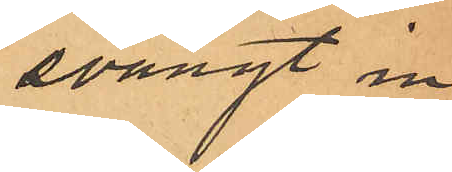svängt in
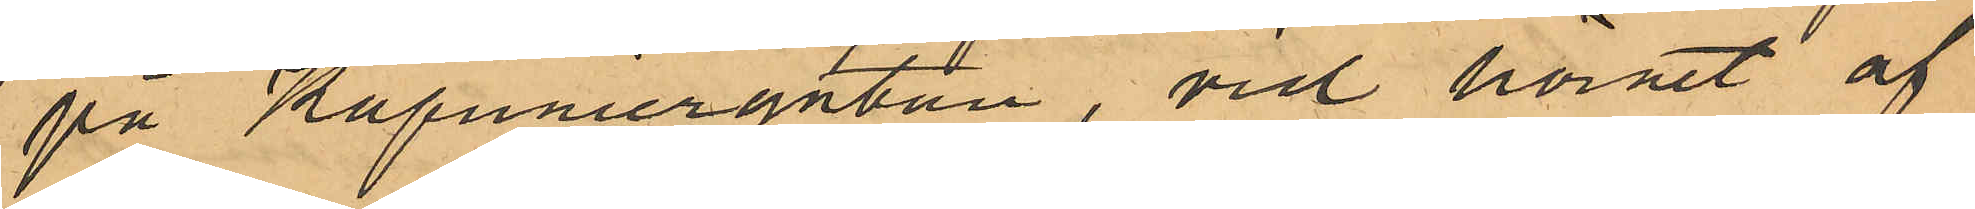på Kapuniergtan, vid hörnet af
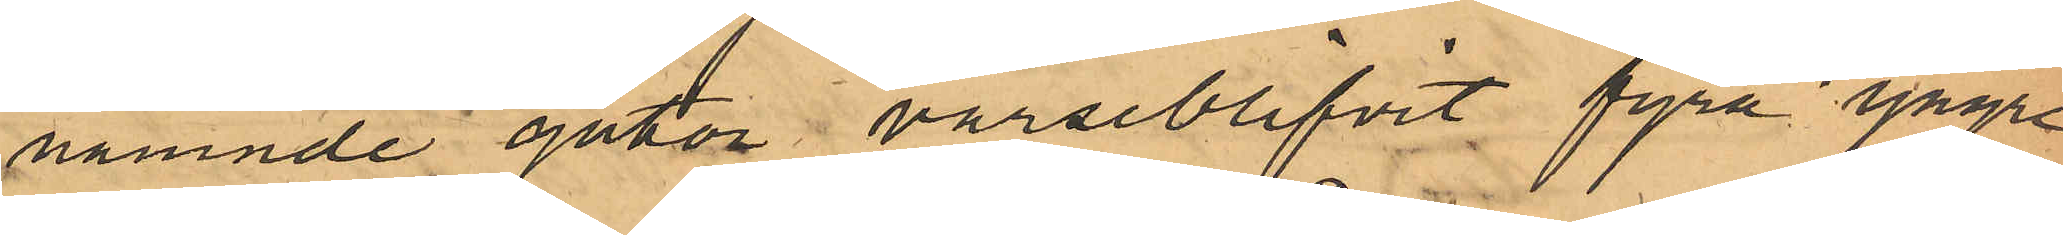nämnde gator varseblifvit fyra yngre
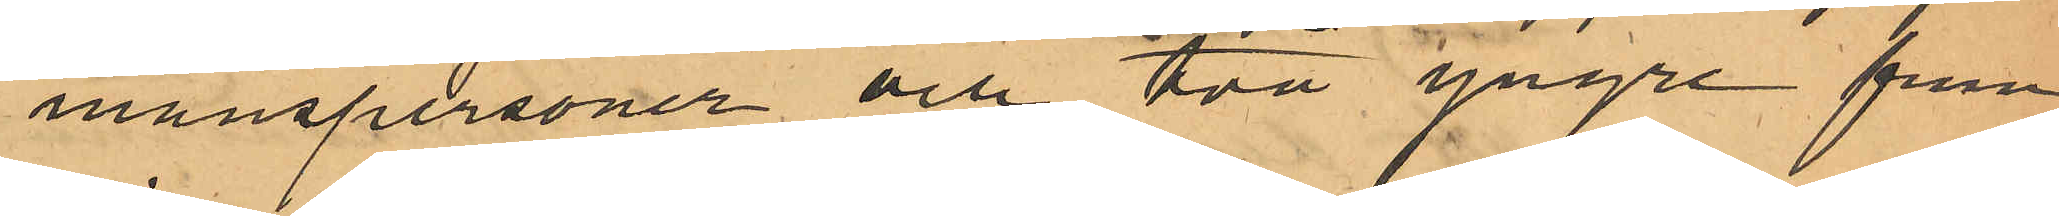manspersoner och två yngre frun¬
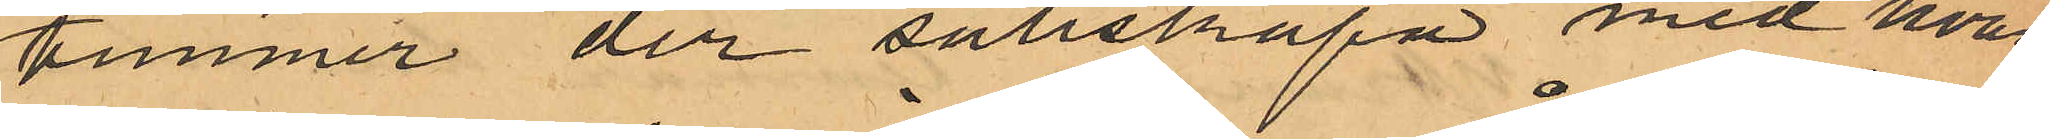timmer der sällskapa med hvar¬
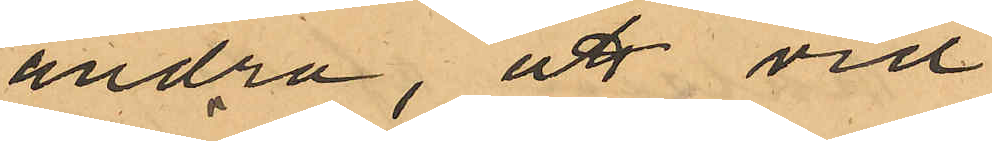andra, att vid
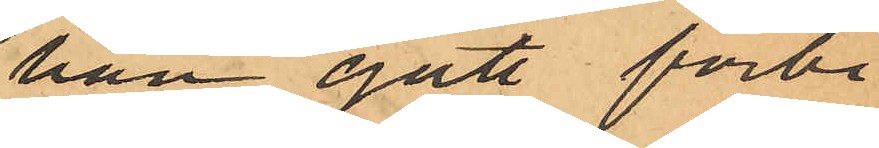han gått förbi
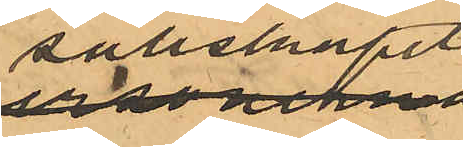sällskapet,
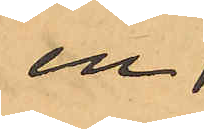en
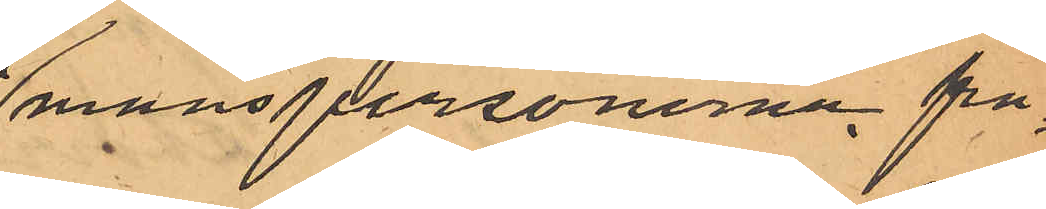manspersonerna frå¬
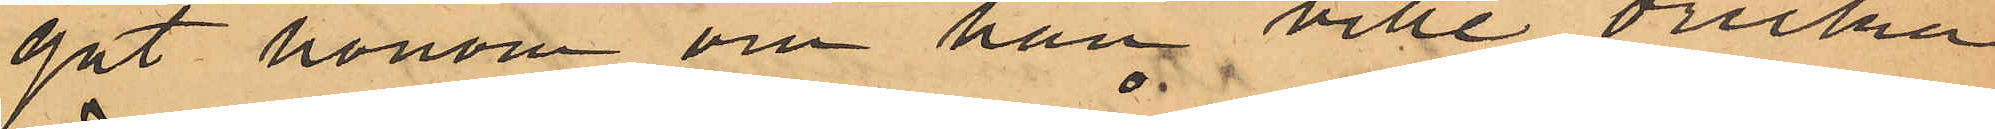gat honom om han ville dricka
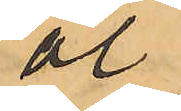öl,
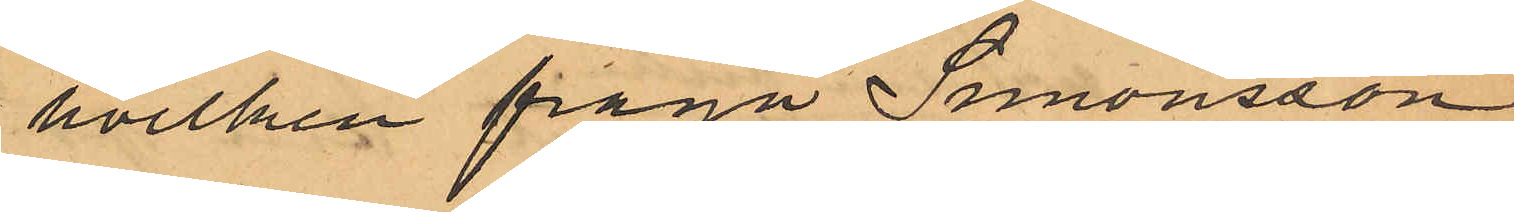hvilken fråga Simonsson
